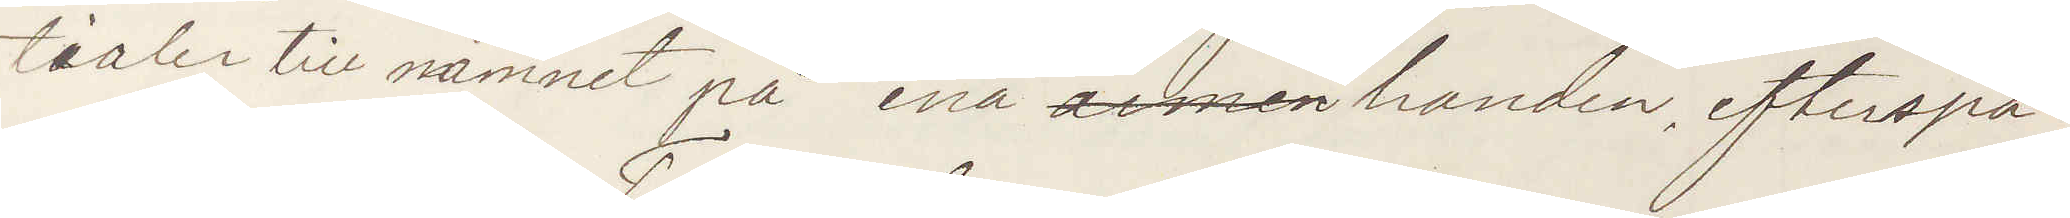tialer till namnet på ena armen handen, efterspa¬
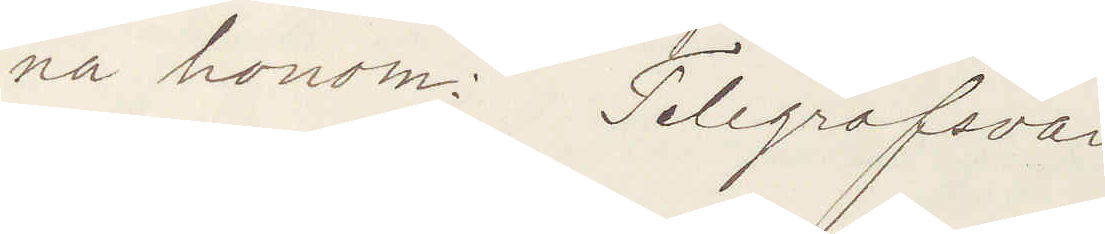na honom. Telegrafsvar
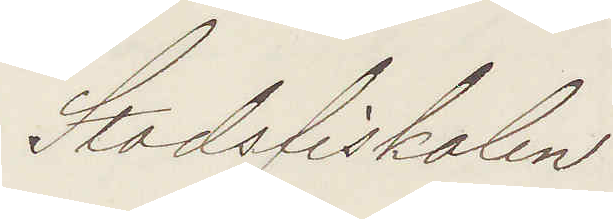Stadsfiskalen
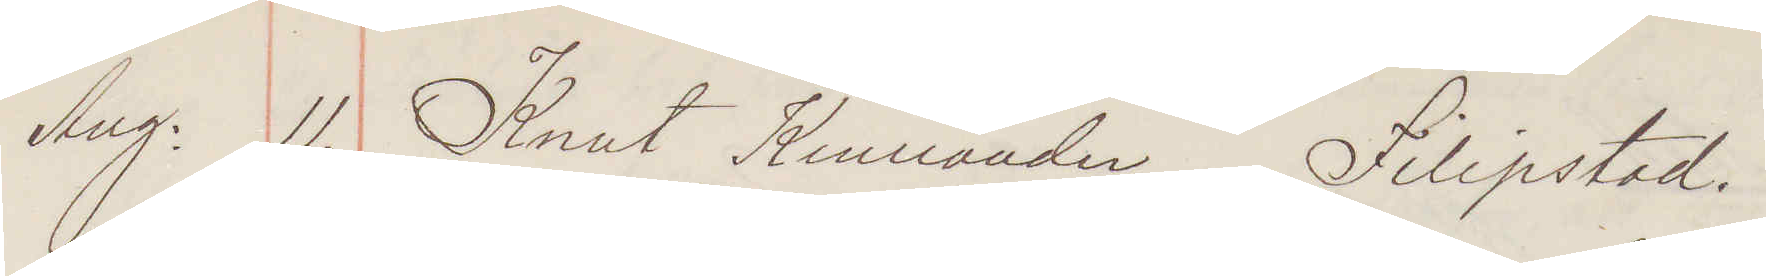Aug: 11. Knut Kinnander Filipstad.
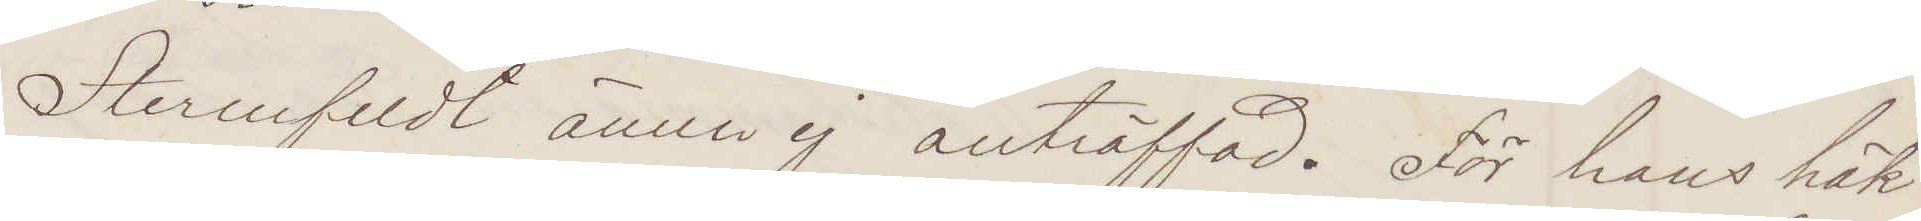Stermfeldt ännu ej anträffad. För hans häk¬
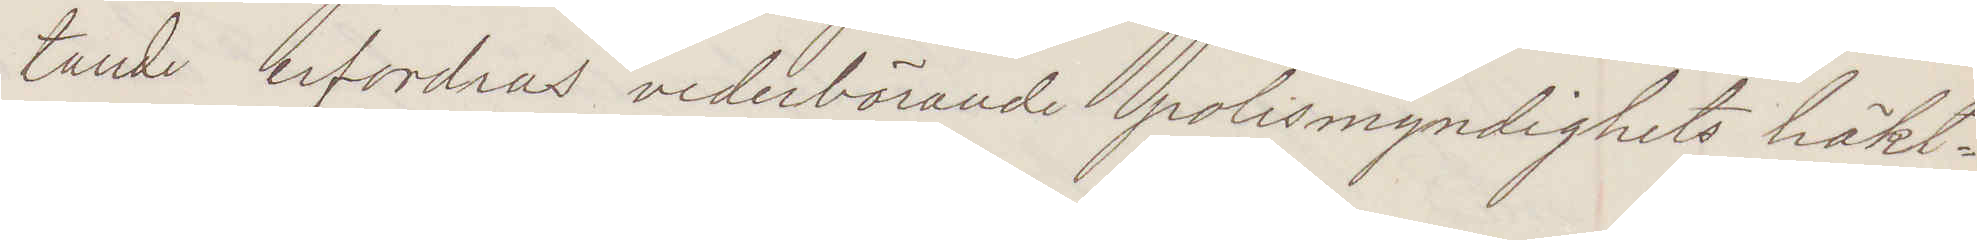tande erfordras vederbörande polismyndighets häkt¬
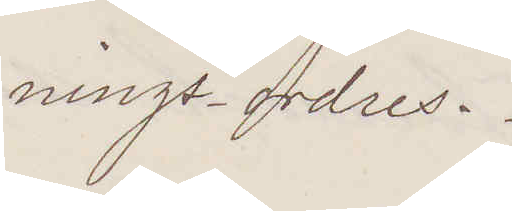nings-ordres.
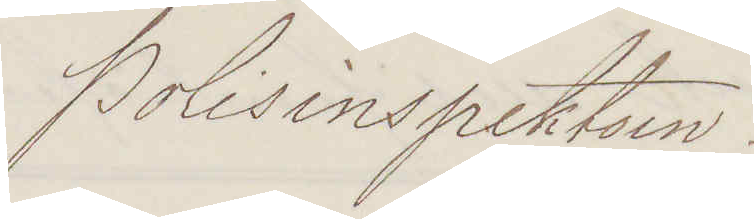Polisinspektorn.
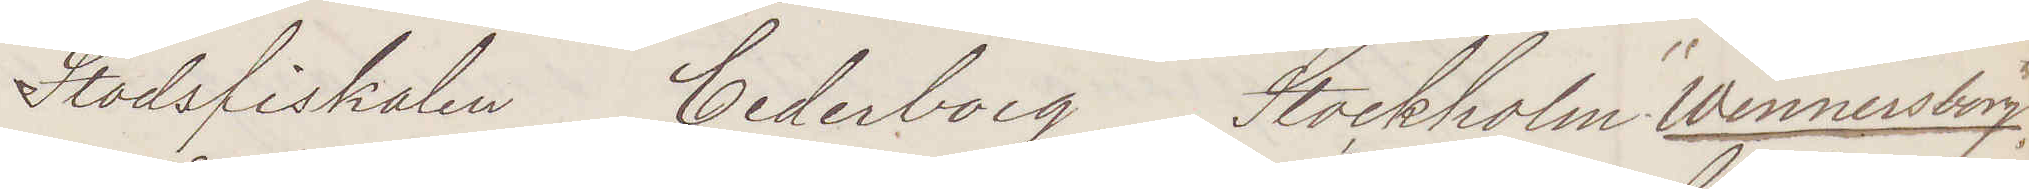Stadsfiskalen Cederborg Stockholm "Wennersborg"
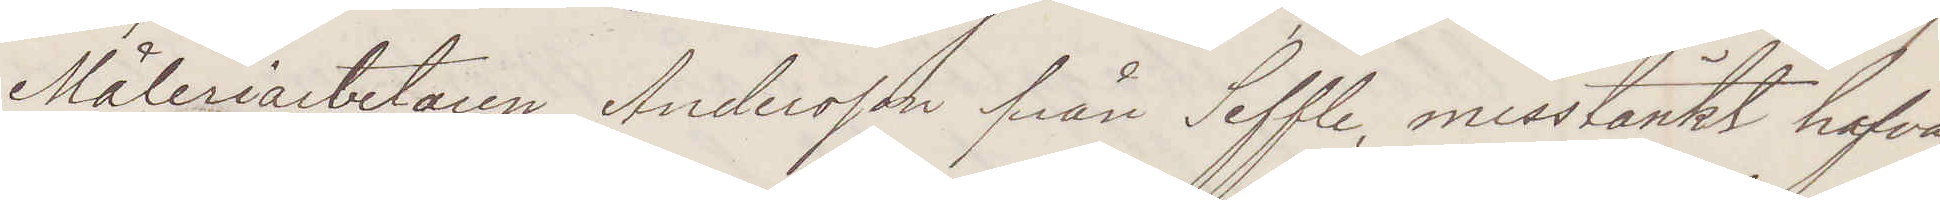Måleriarbetaren Andersson från Seffle, misstänkt hafva
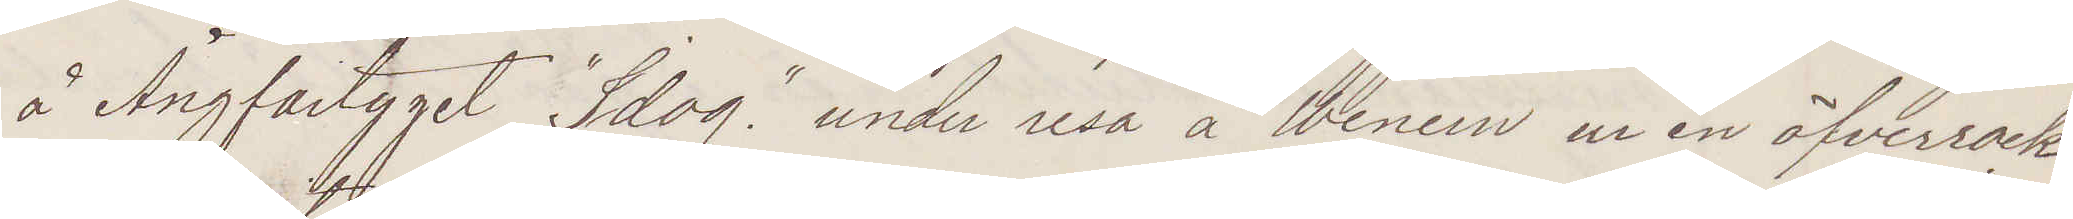å Ångfartyget "Idog" under resa å Wenern ur en öfverrock
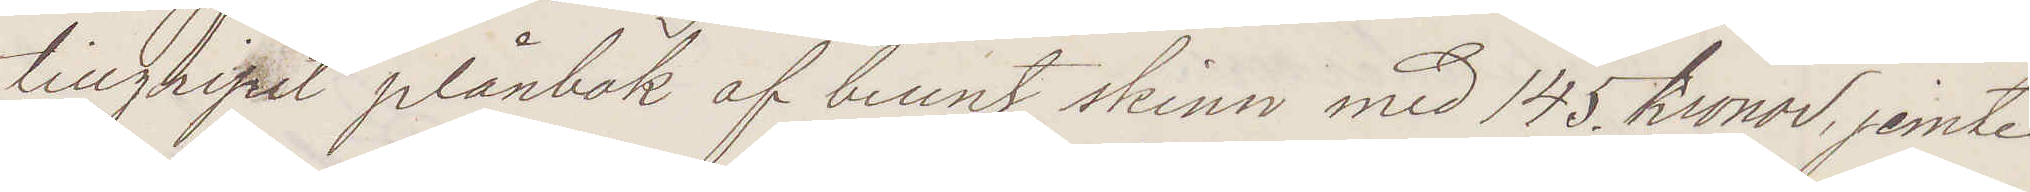tillgripit plånbok af brunt skinn med 145 kronor, jemte
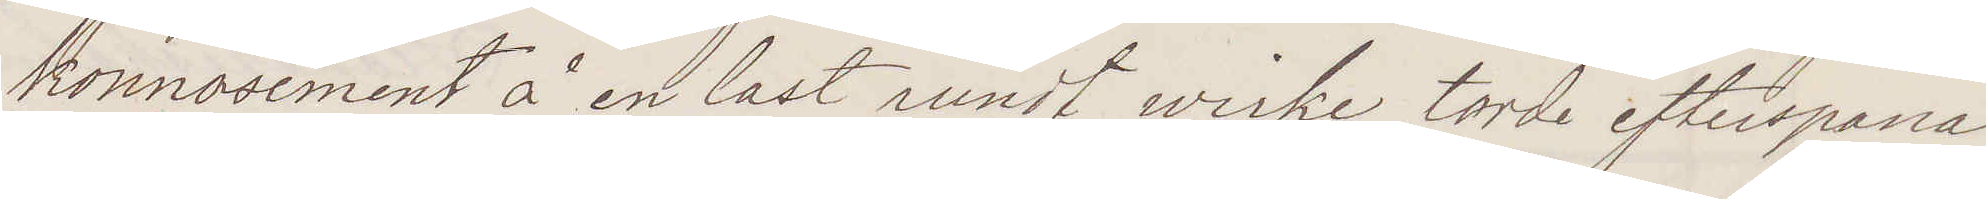konnosement å en last rundt wirke. torde efterspanas
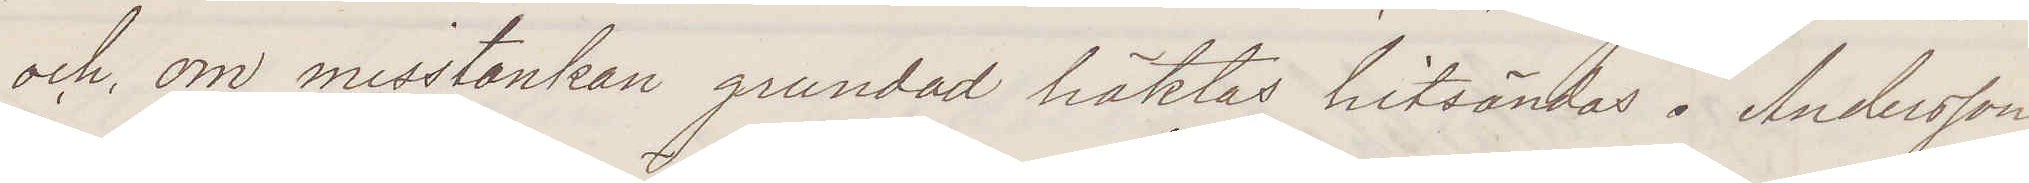och, om misstanken grundad häktas hitsändas. Andersson
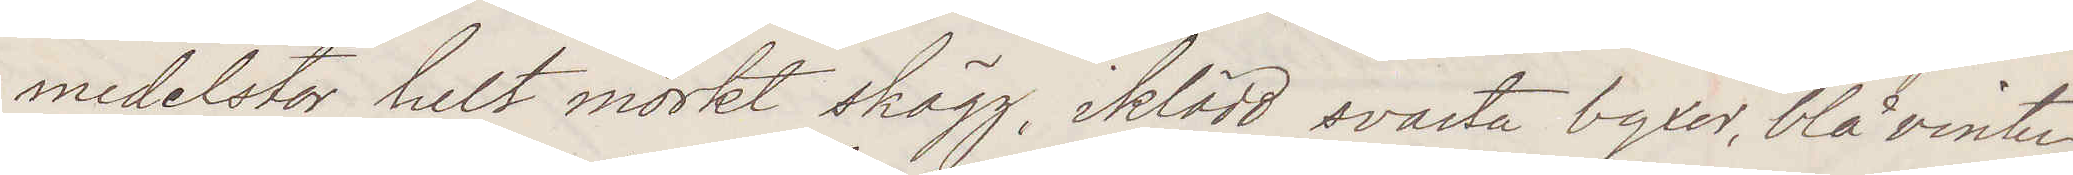medelstor, helt mörkt skägg, iklädd svarta byxor, blå vinter¬
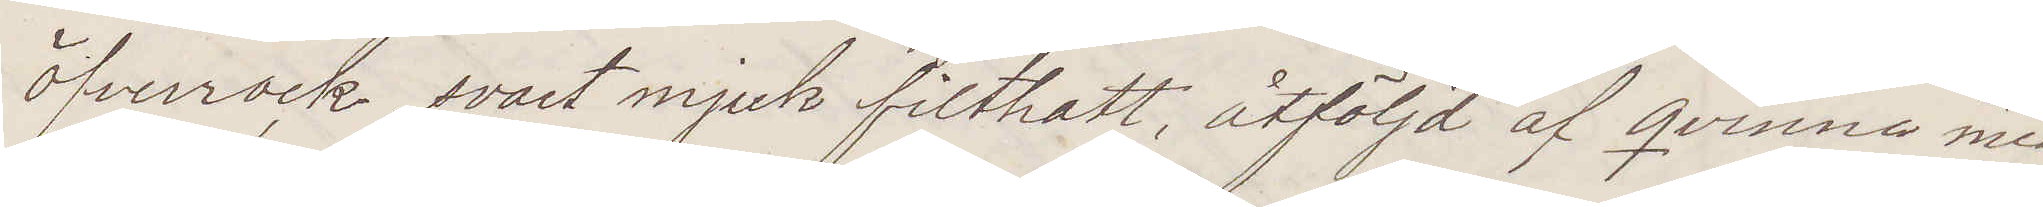öfverrock, svart mjuk filthatt, åtföljd af qvinna med
